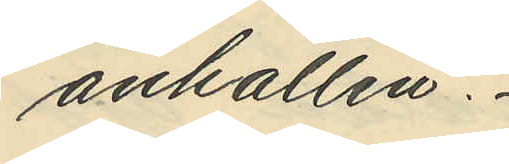anhållen.
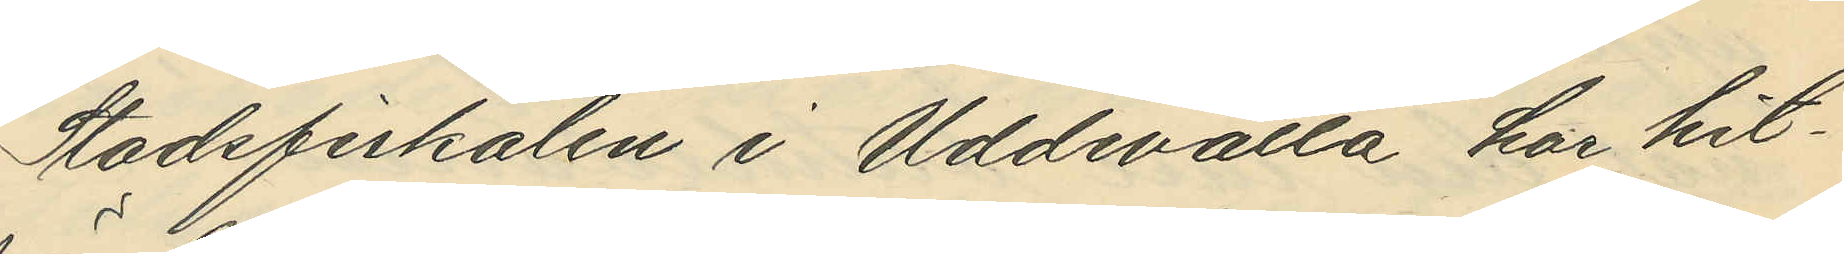Stadsfiskalen i Uddevala har hit¬
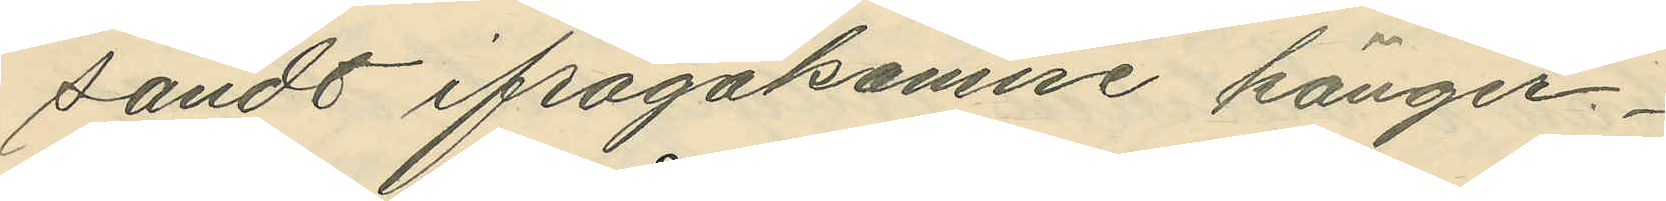sändt ifrågakomne känger.
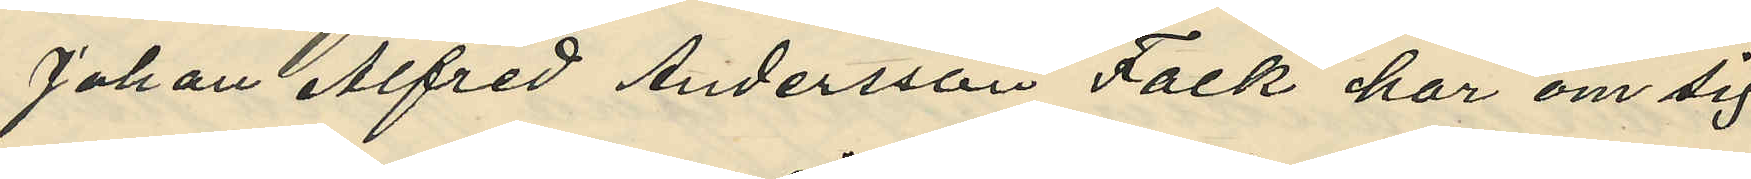Johan Alfred Andersson Falk har om sig
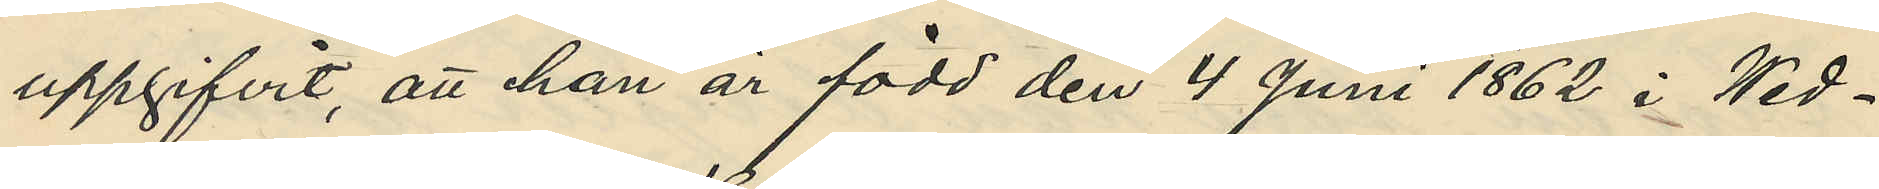uppgifvit, att han är född den 4 juni 1862 i Wed¬
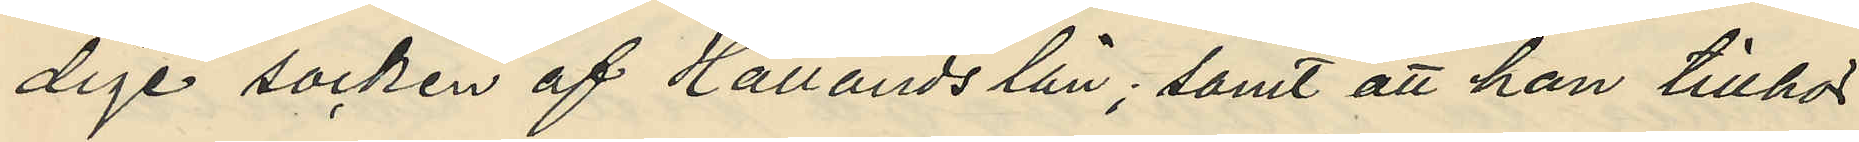dige socken af Hallands län, samt att han tillhör
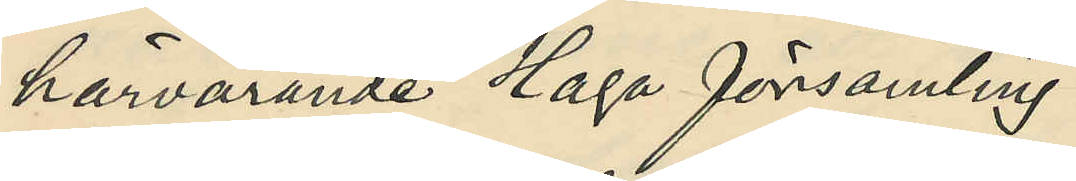härvarande Haga församling.
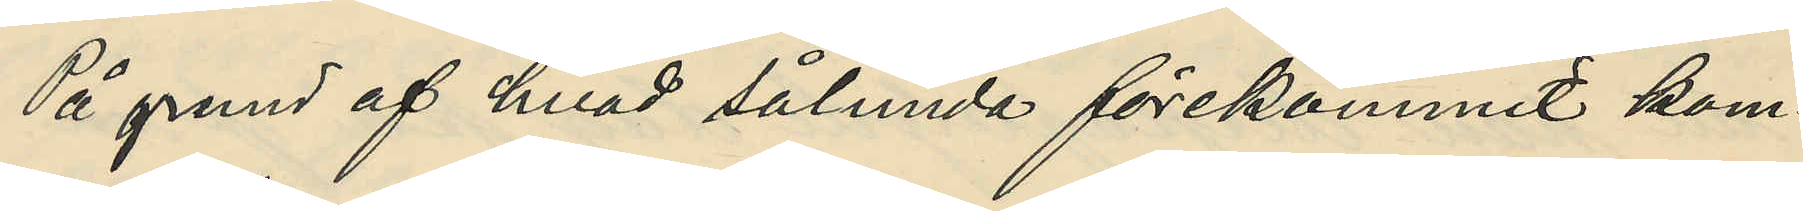På grund af hvad sålunda förekommit kom¬
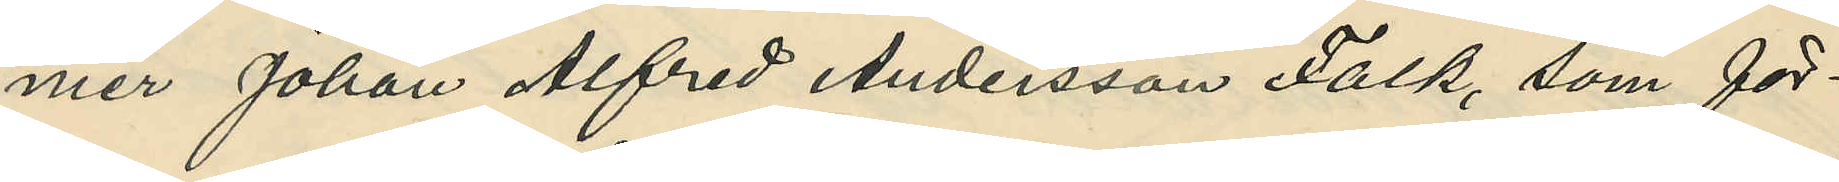mer Johan Alfred Andersson Falk, som för¬
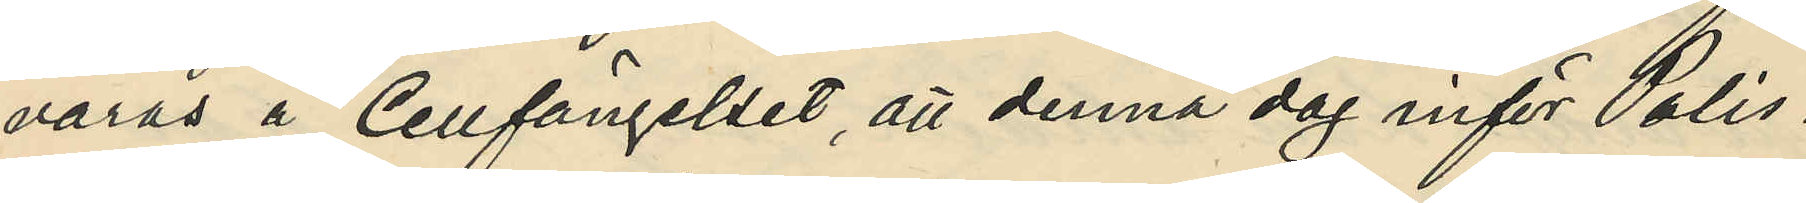varas i Cellfängelset, att denna dag inför Polis¬
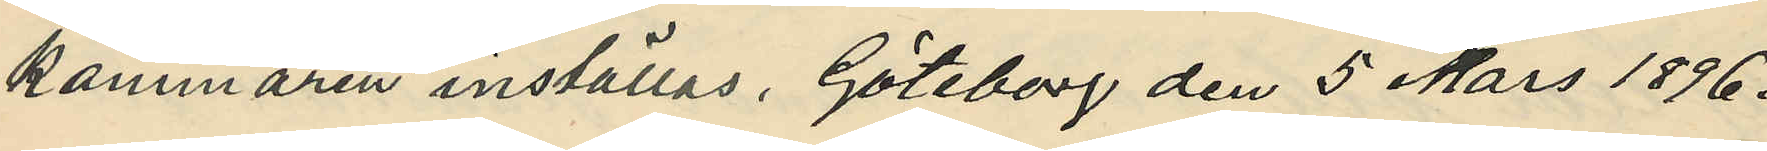kammaren inställas. Göteborg den 5 Mars 1896.
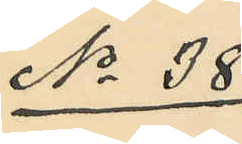No 38
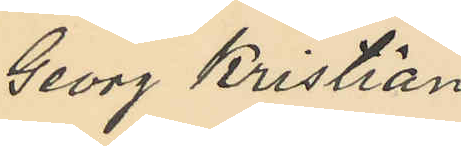Georg Kristian
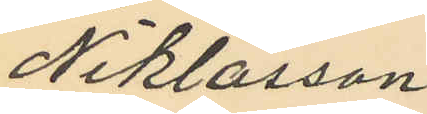Niklasson.
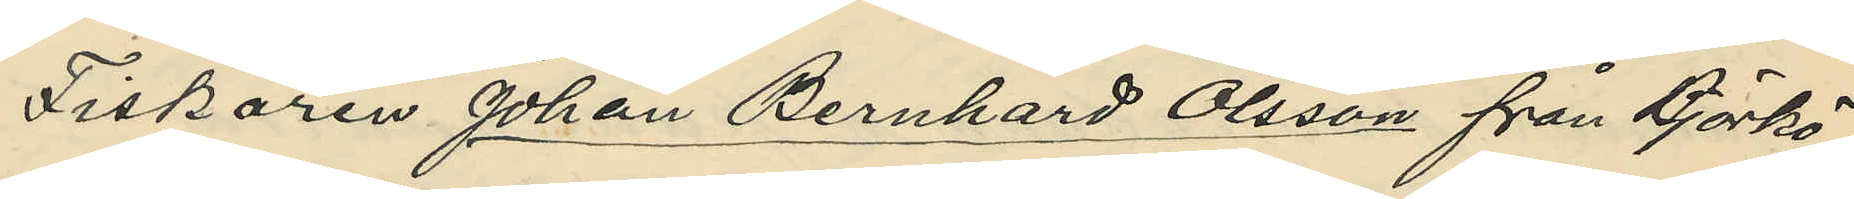Fiskaren Johan Bernhard Olsson från Björkö
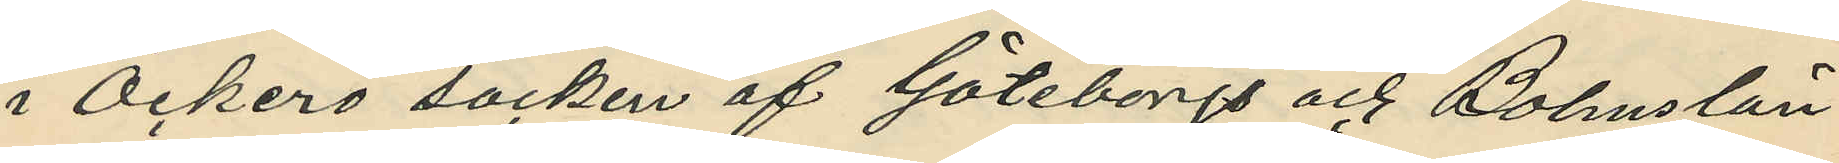i Öckerö socken af Göteborgs och Bohuslän
